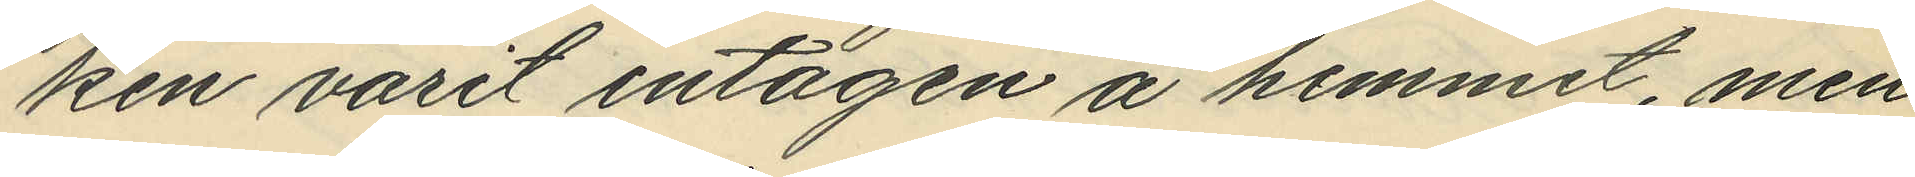ken varit intagen å hemmet, men
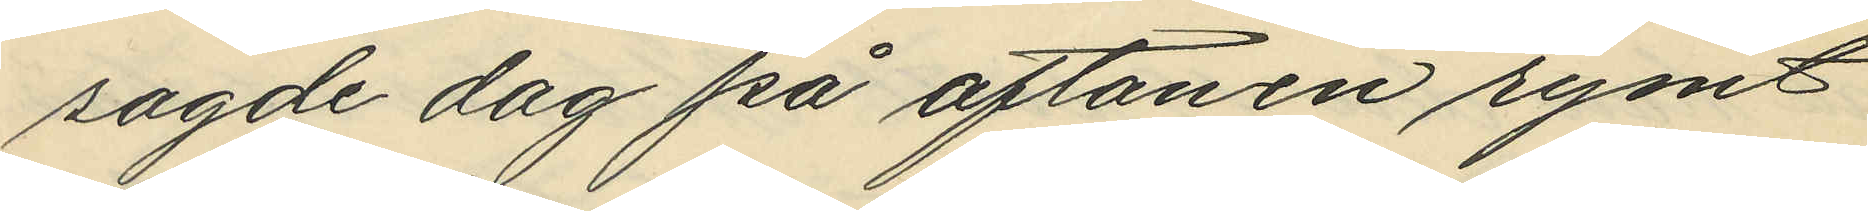sagde dag på aftonen rymt
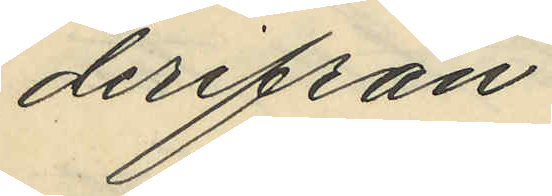derifrån.
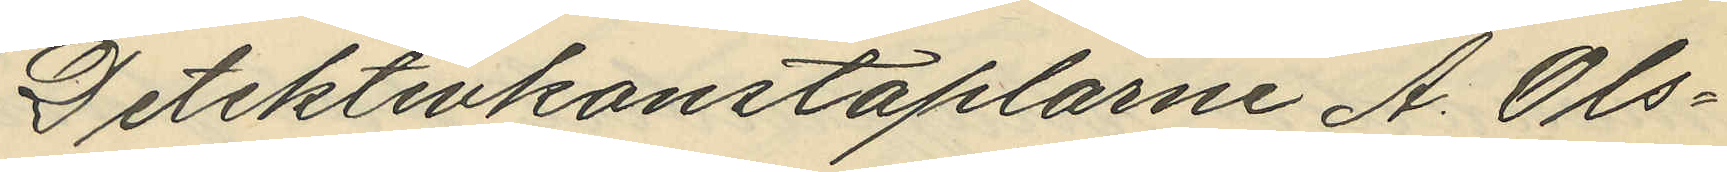Detektivkonstaplarne A. Ols¬
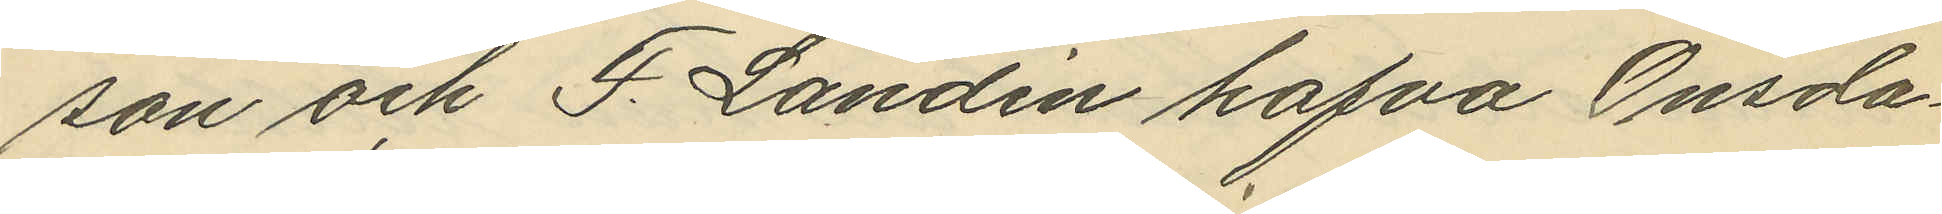son och F. Landin hafva Onsda¬
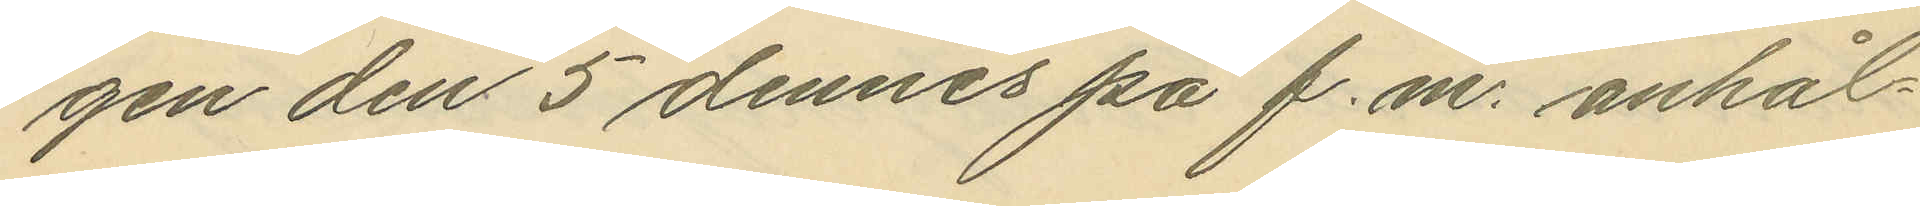gen den 5 dennes på f. m. anhål¬
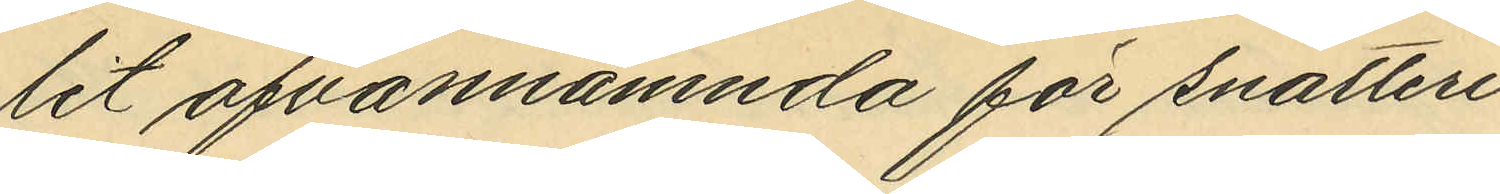lit ofvannämnda för snatteri
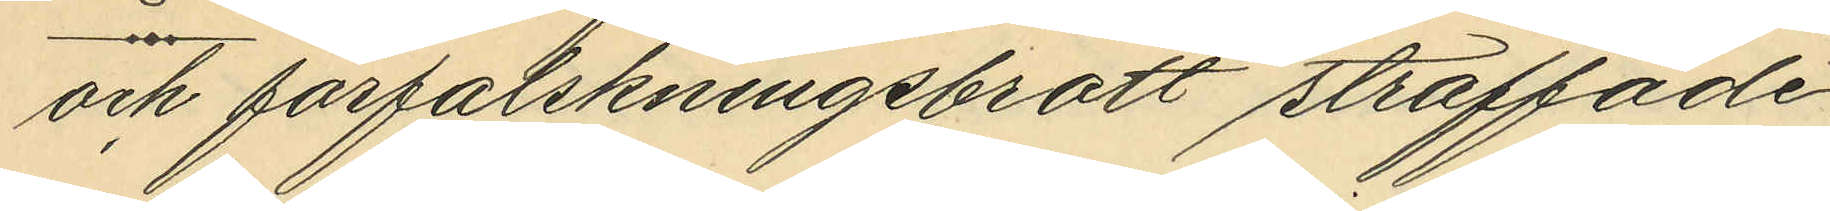och förfalskningbrott straffade
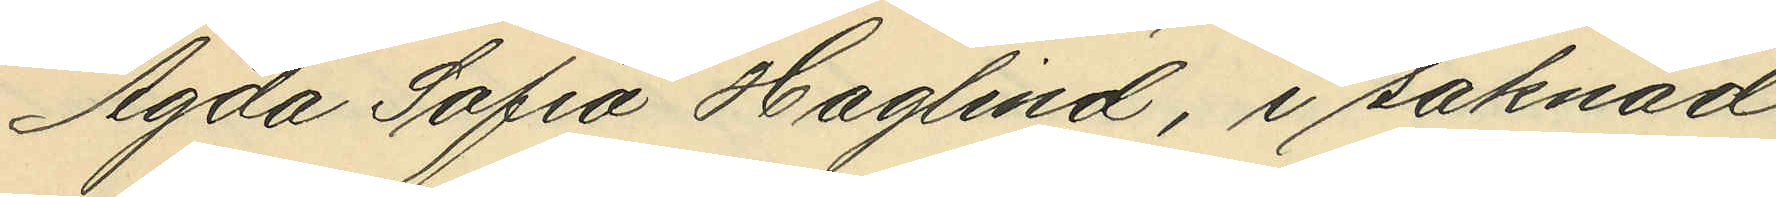Agda Sofia Haglind, i saknad
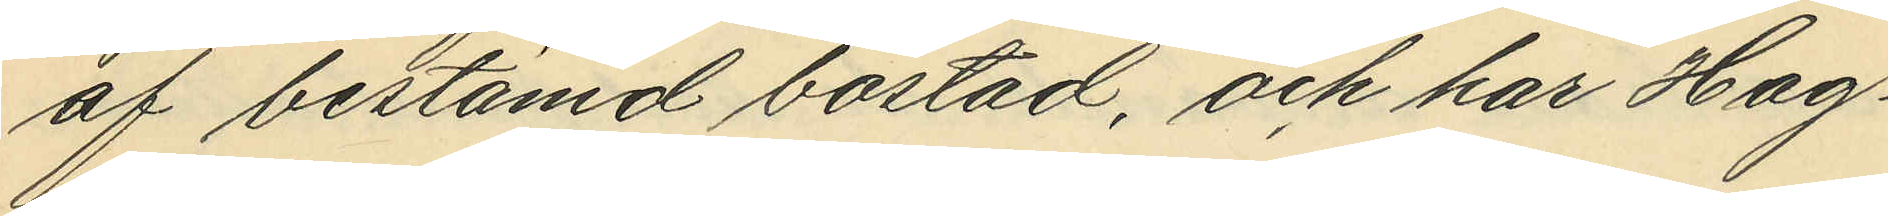af bestämd bostad, och har Hag¬
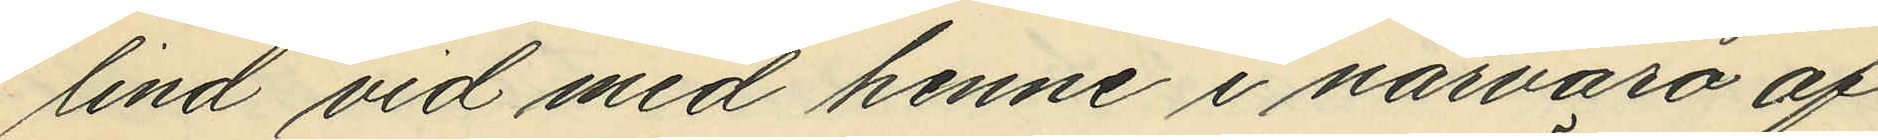lind vid med henne i närvaro af
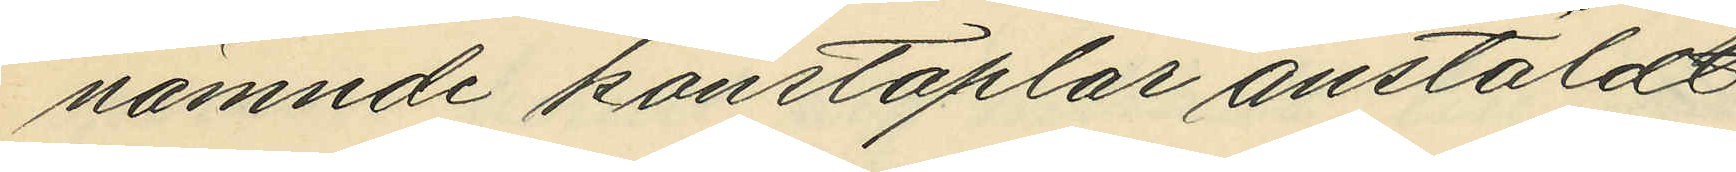nämnde konstaplar anstäldt
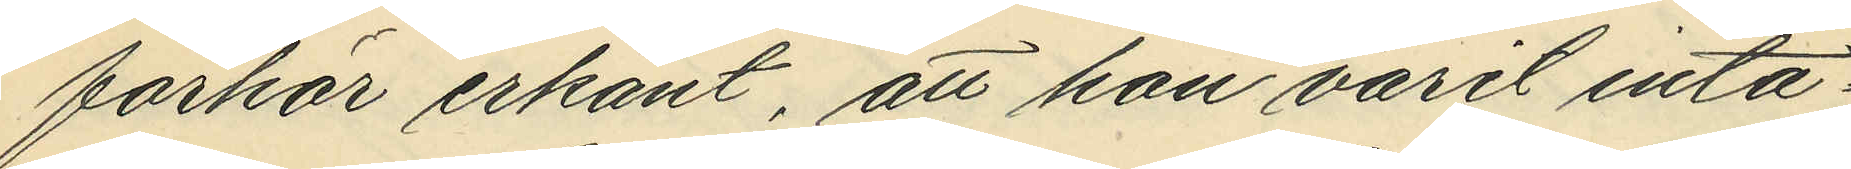förhör erkänt, att hon varit inta¬
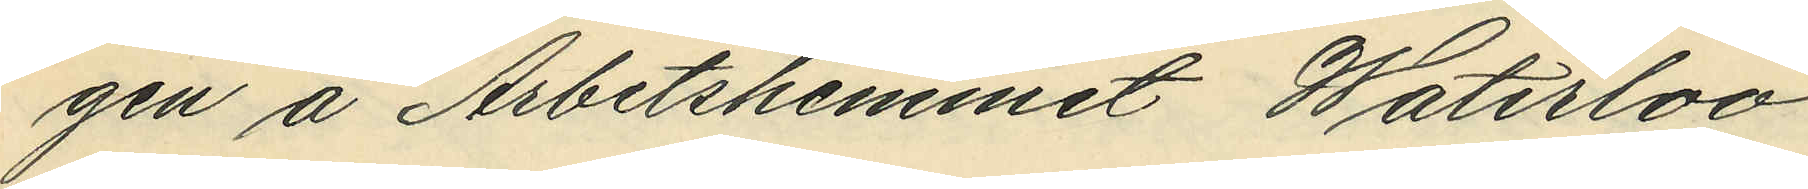gen å Arbetshemmet Waterloo
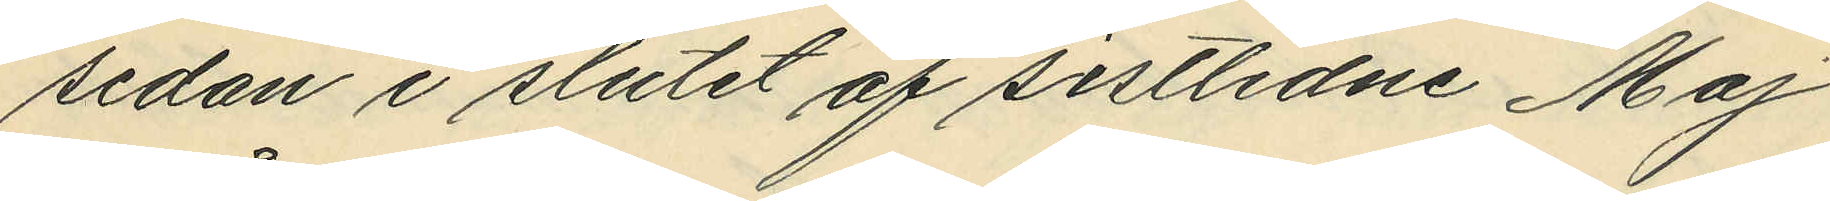sedan i slutet af sistlidne Maj
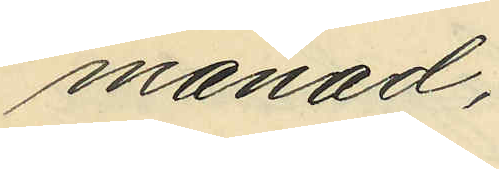månad;
